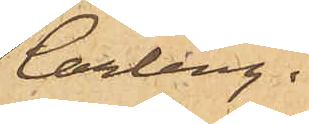Carling.
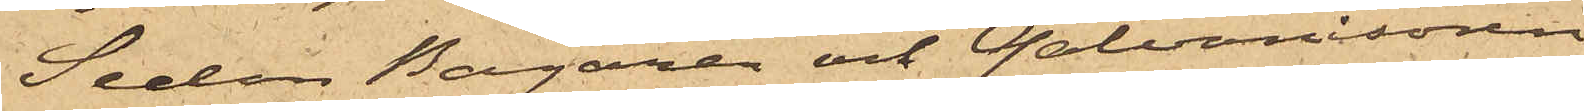Sedan Bagaren och Galvanisören
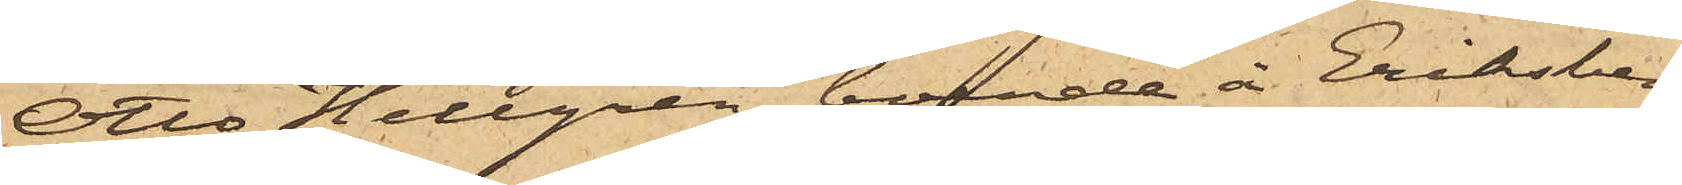Otto Hellgren, boende å Eriksberg
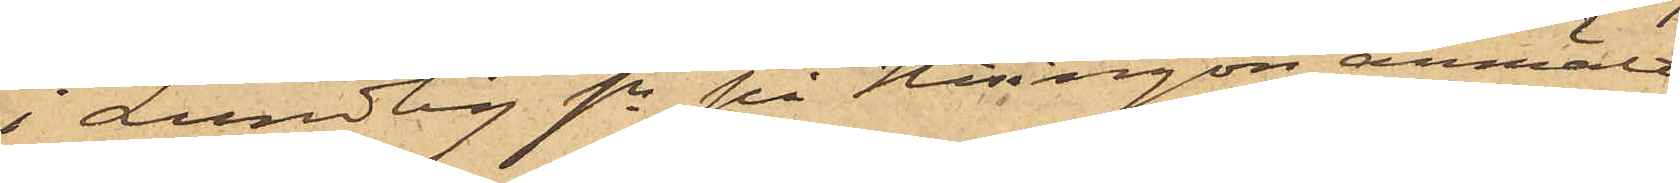i Lundby sn på Hisingön, anmält
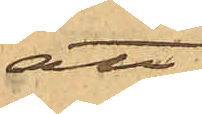att
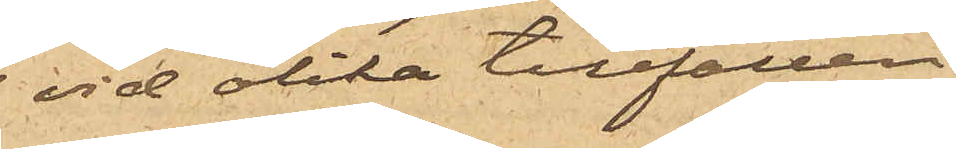vid olika tillfällen
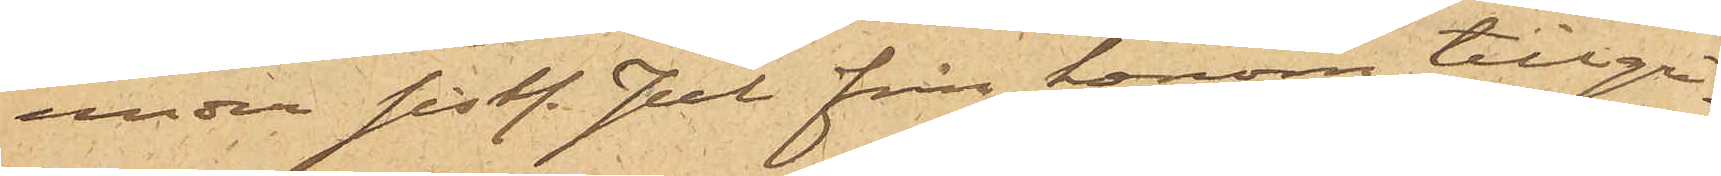under sist. Jul från honom tillgri¬
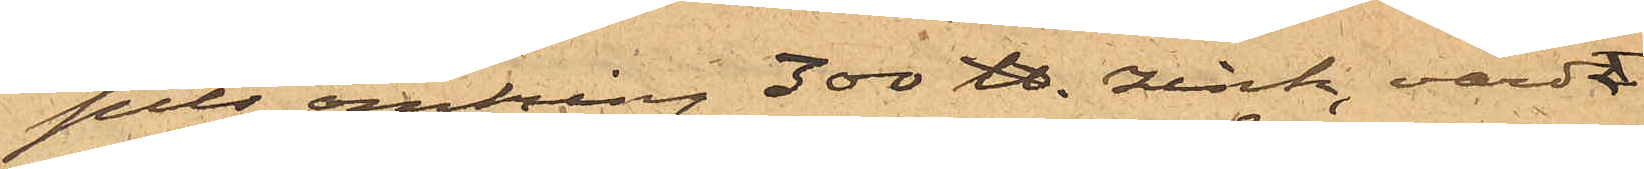pits omkring 300 ℔. zink, värda
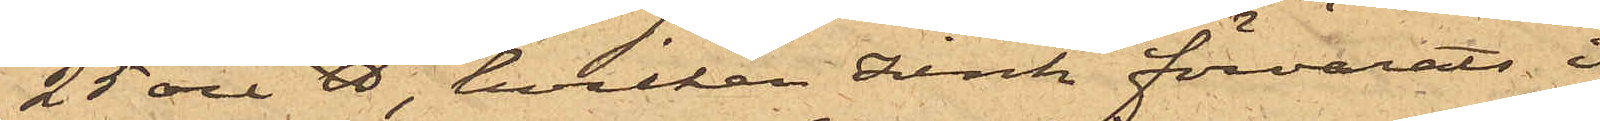25 öre ℔, hvilken zink förvarats i
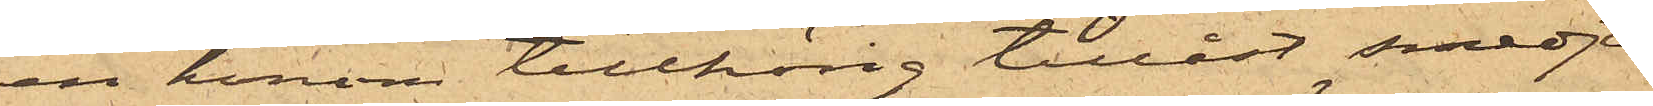en honom tillhörig tillåst smedja,
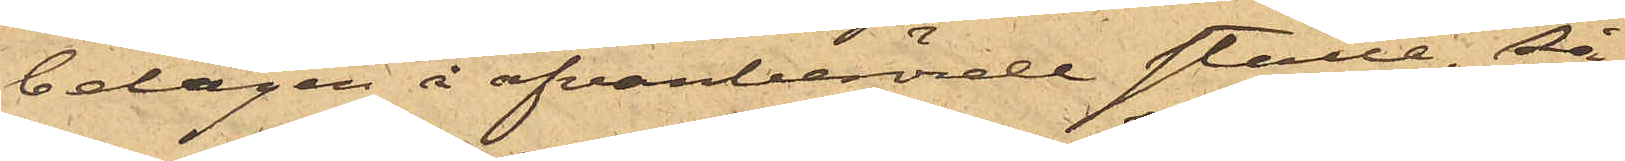belägen å ofvanberörde ställe, så
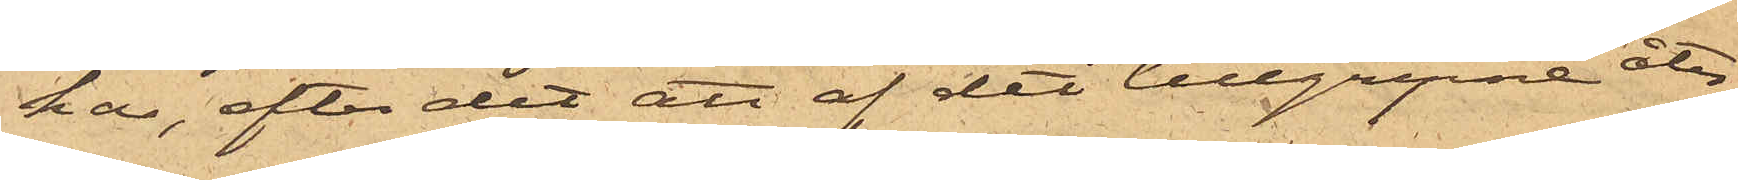har, efter det att af det tillgripne åter¬
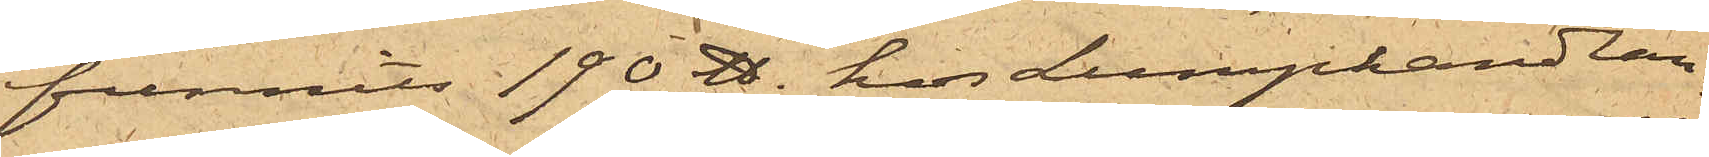funnits 190 ℔. hos Lumphandlan¬
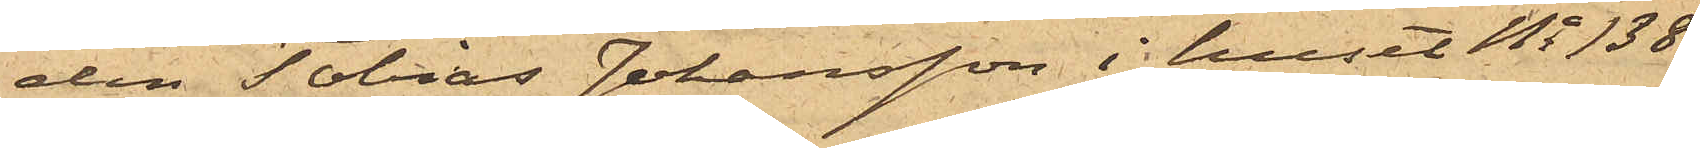den Tobias Johansson i huset No 138
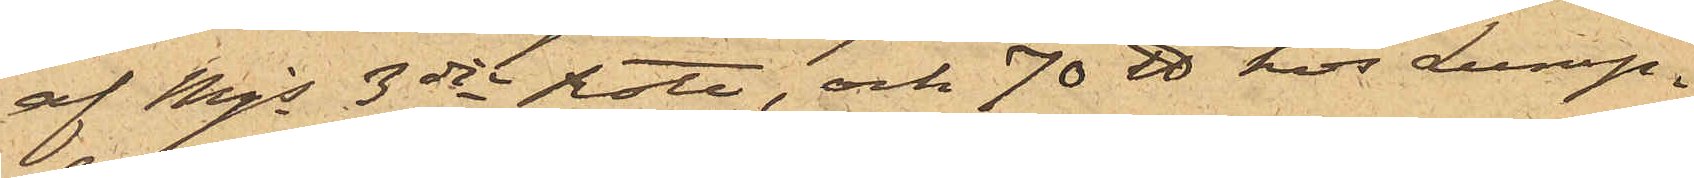af Mjs 3dje Rote, och 70 ℔ hos Lump¬
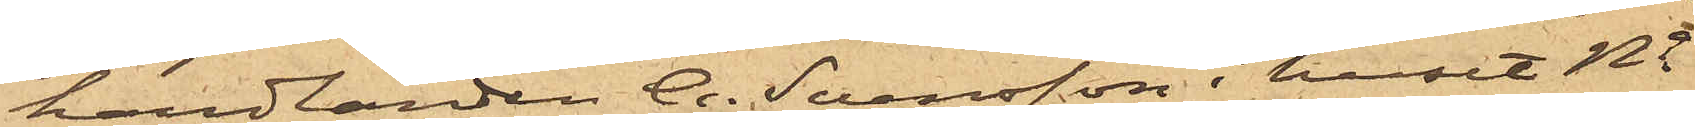handlanden A. Svensson i huset No
